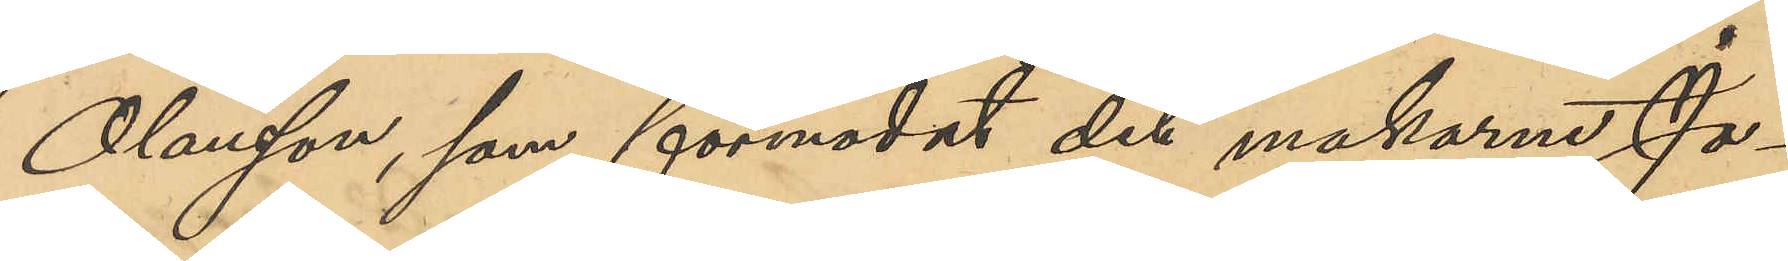Olausson, som förmodat det makarna Jo¬
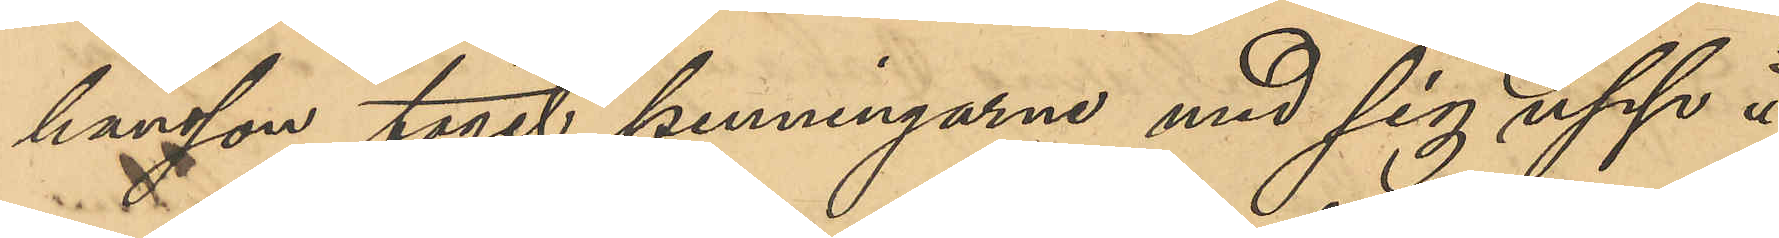hansson tagit penningarne med sig upp å
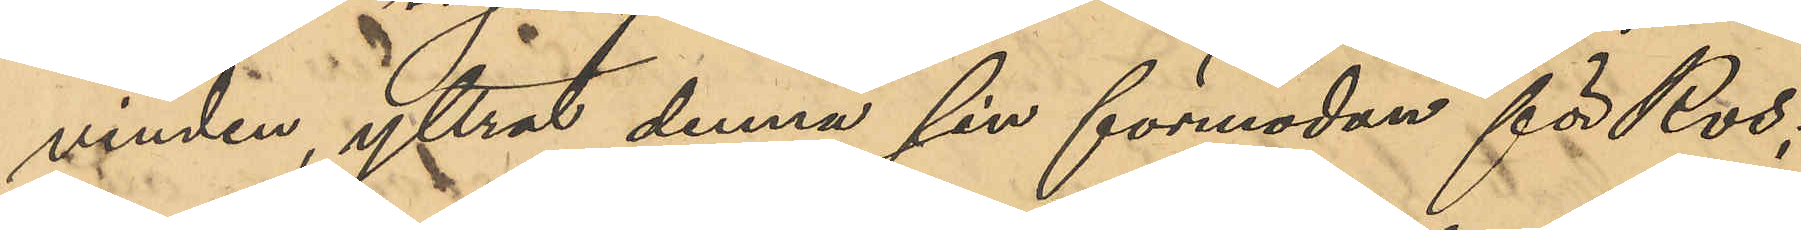vinden, yttrat denna sin förmodan för Ros;
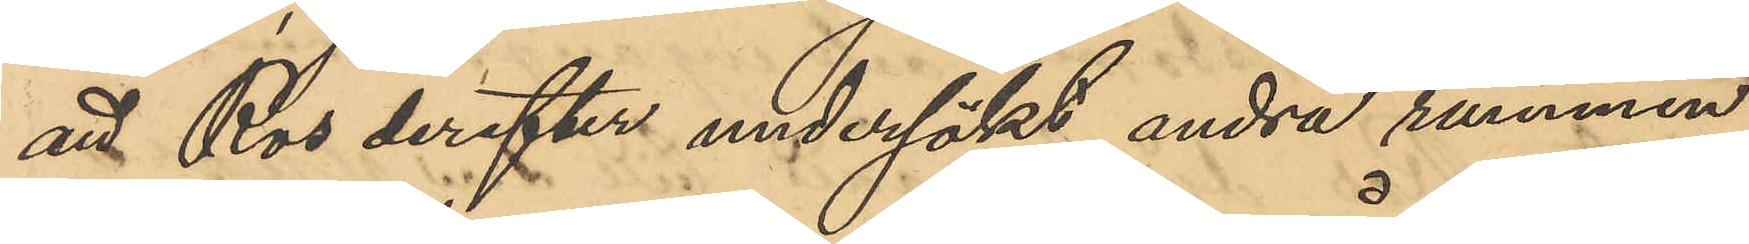att Ros derefter undersökt andra rummen
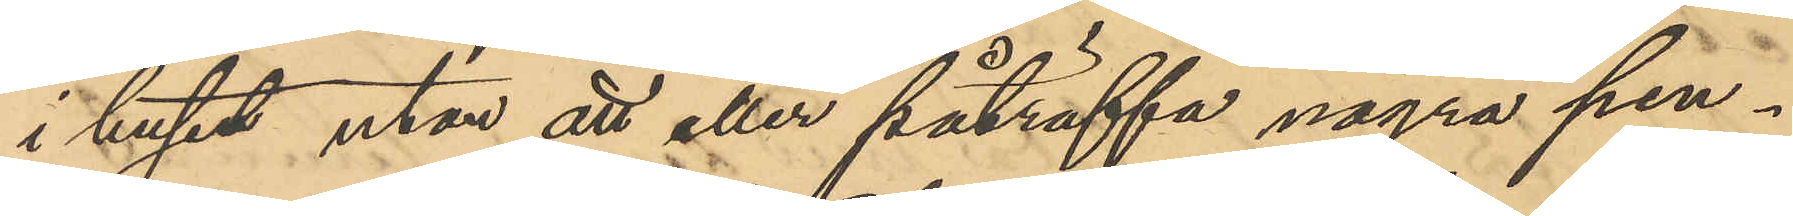i huset utan att eller påträffa några pen¬
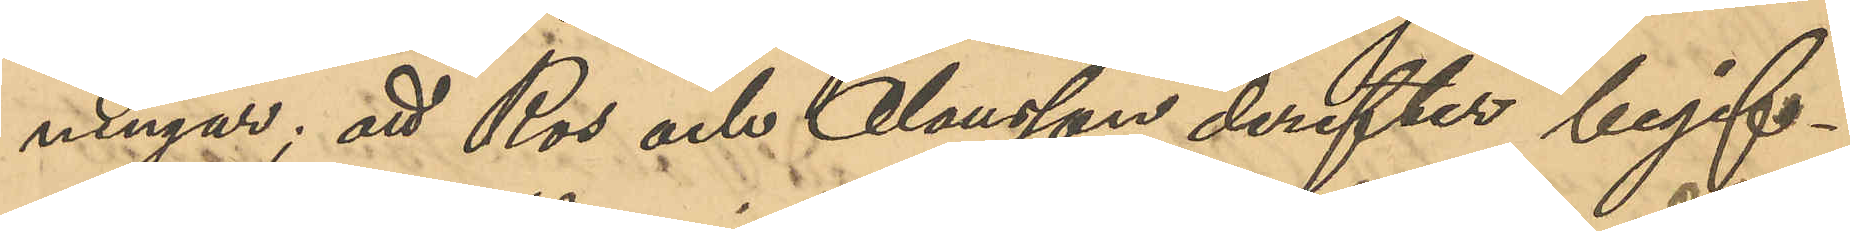ningar; att Ros och Olausson derefter begif¬
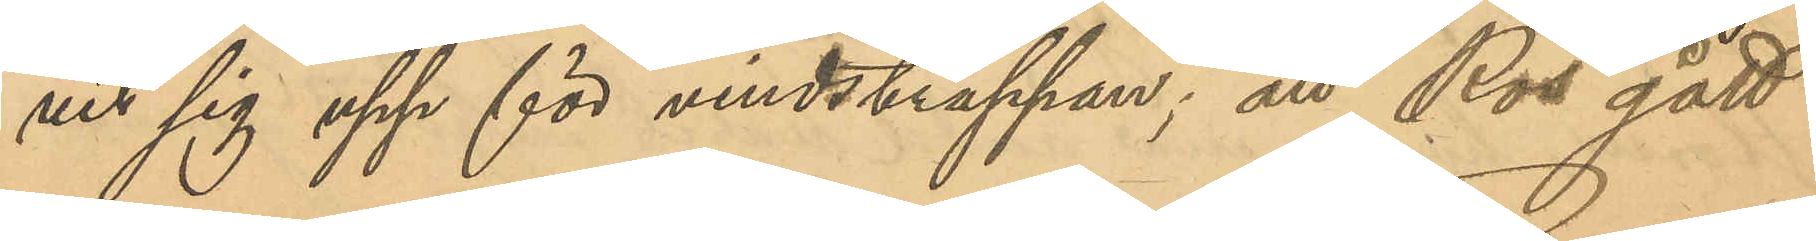vit sig upp för vindstrappan; att Ros gått
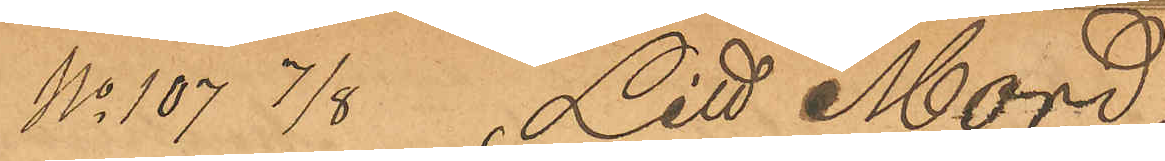No 107  7/8 Litt "Mord"
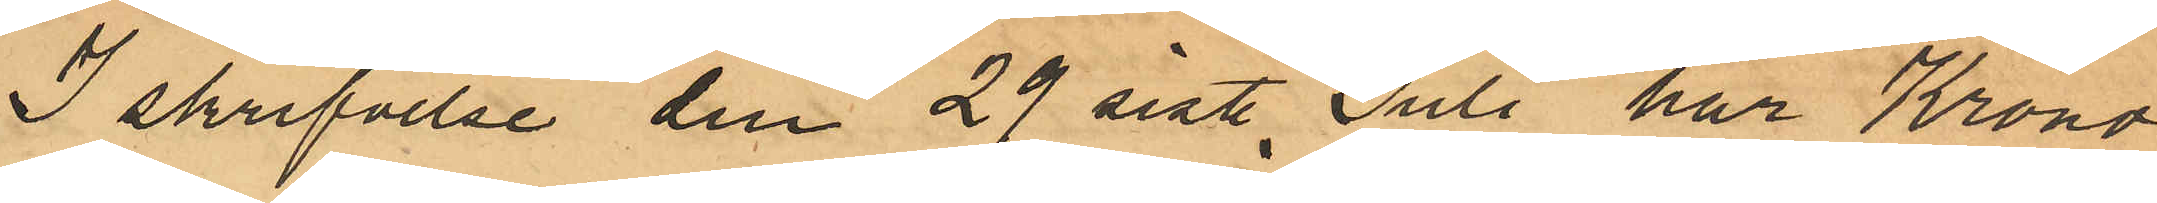I skrifvelse den 29 sist. Juli har Krono¬
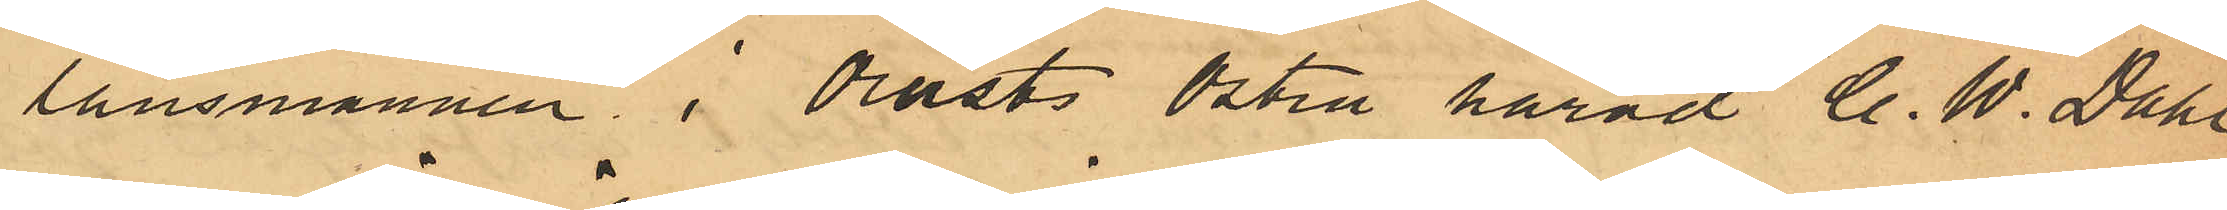länsmannen i Orusts Östra härad  C. W. Dahl
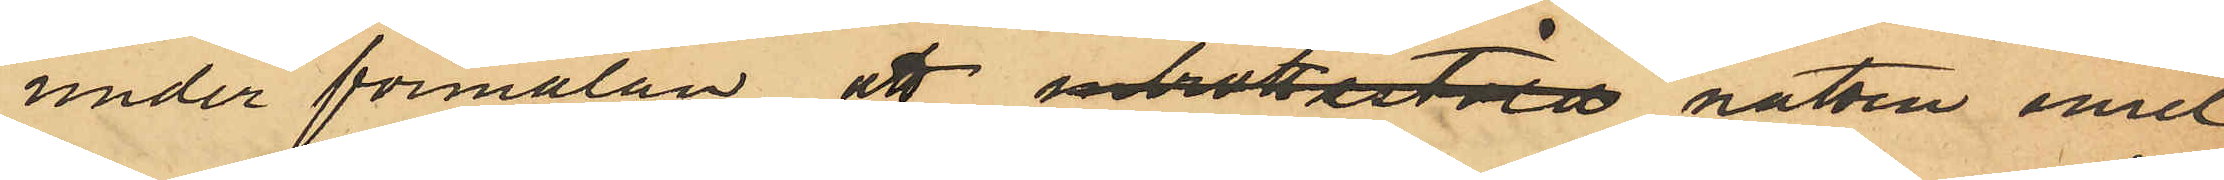under förmälan att inbrottsstöld natten emel¬
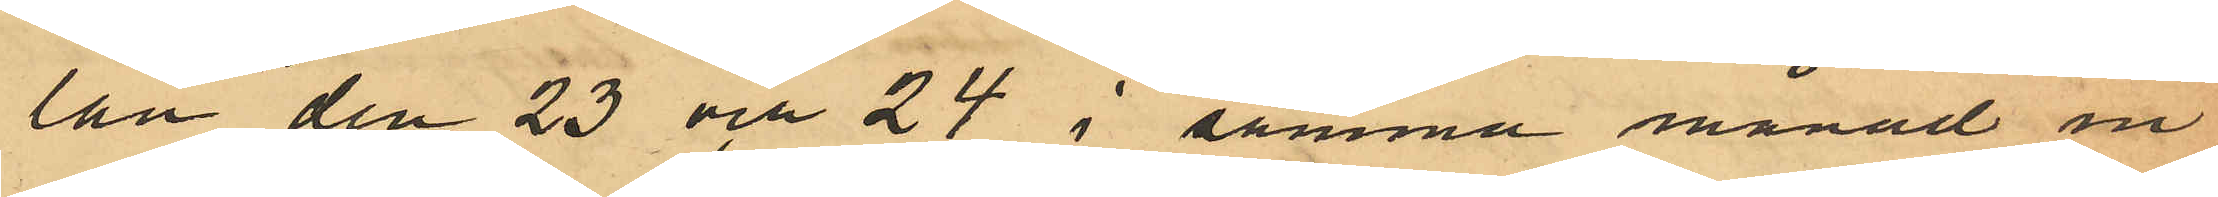lan den 23 och 24 i samma månad in¬
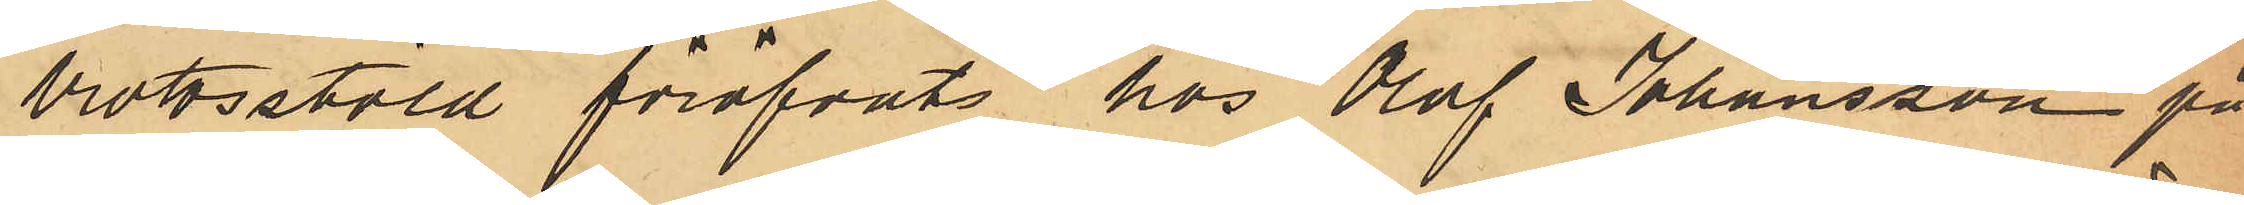brottsstöld föröfvats hos Olof Johansson på
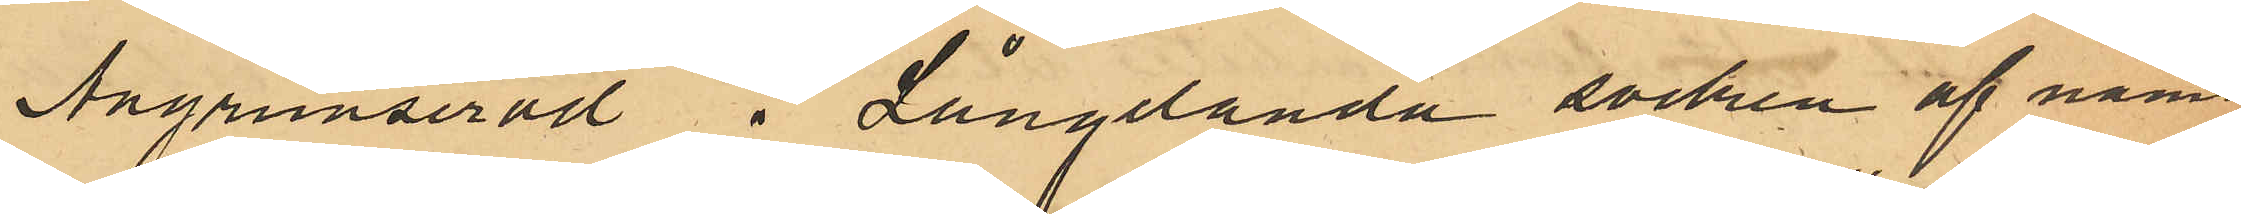Angrimseröd i Långelanda socken af näm¬
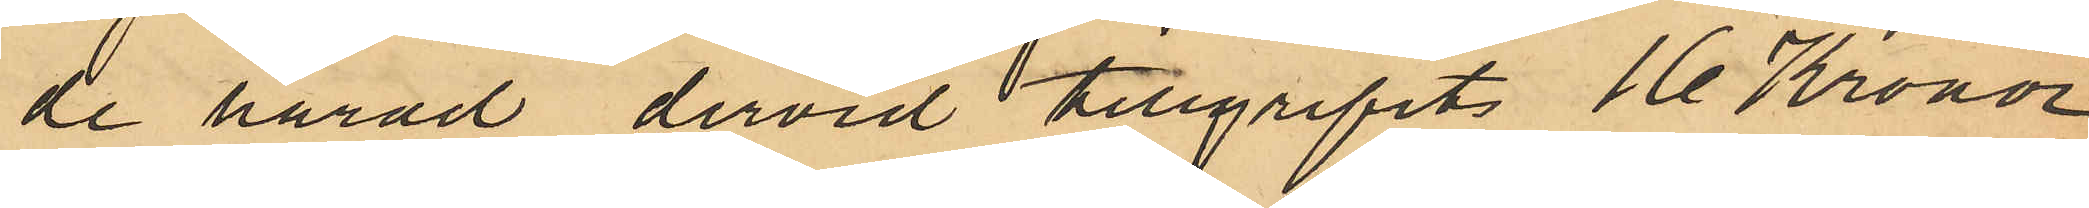de härad dervid tillgripits 16 Kronor
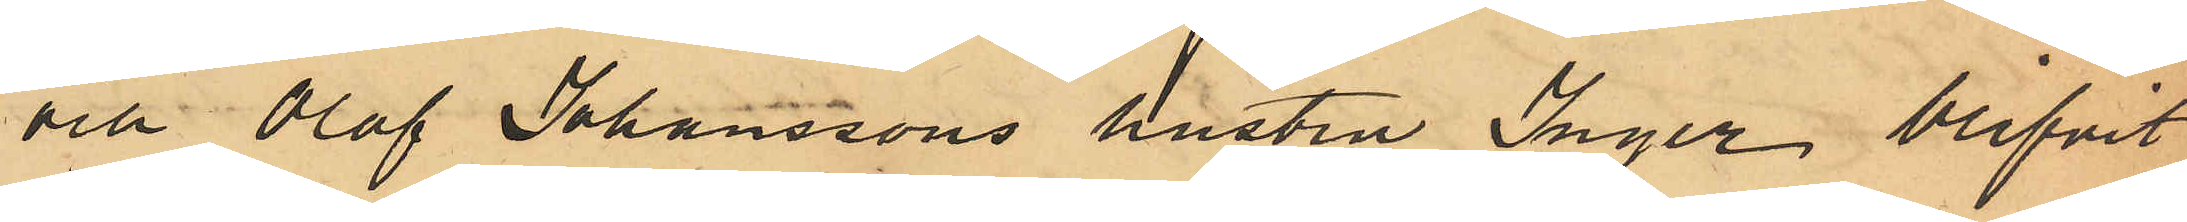och Olof Johanssons hustru Inger blifvit
